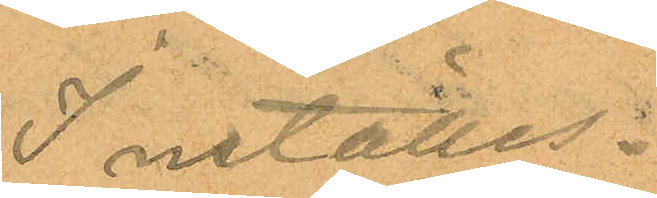Inställes.
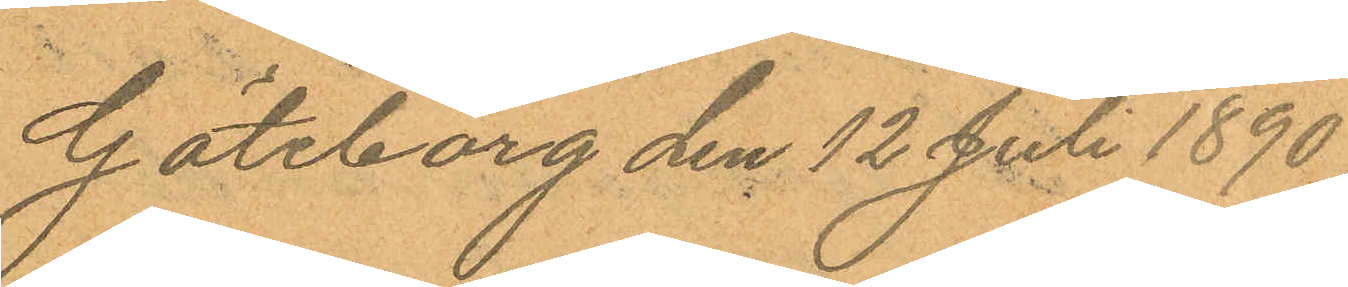Göteborg den 12 Juli 1890
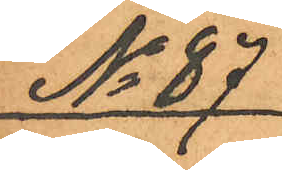No 87
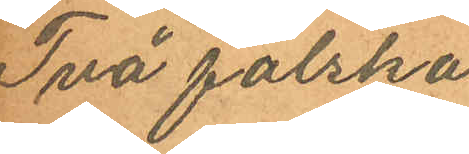Två falska
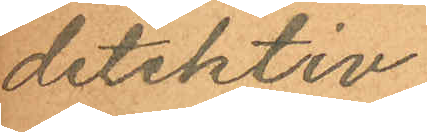detektiv
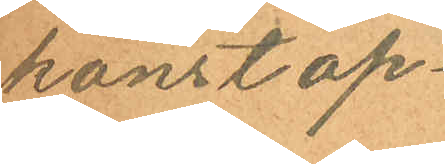konstap¬
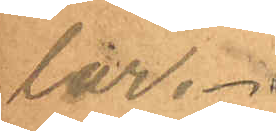lar.
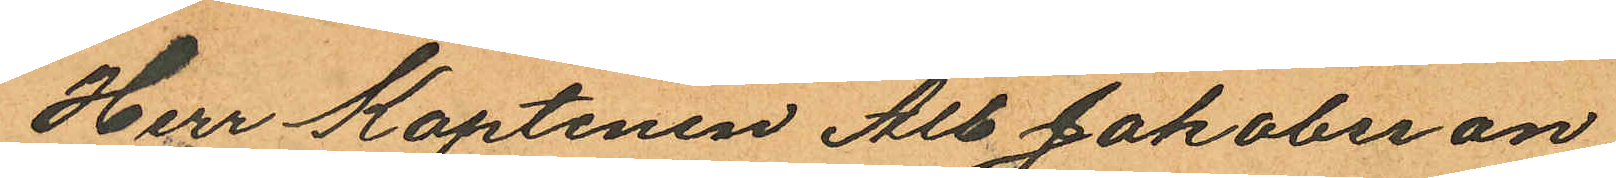Herr Kaptenen Alb Jakobsson
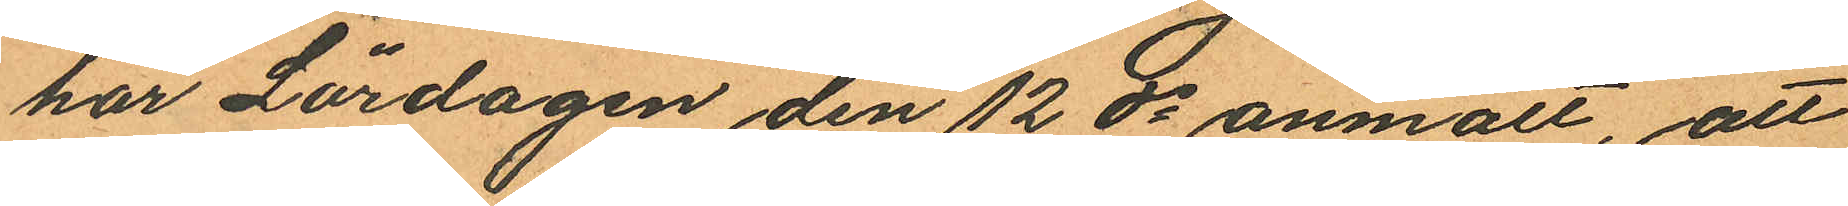har Lördagen den 12 ds anmält, att
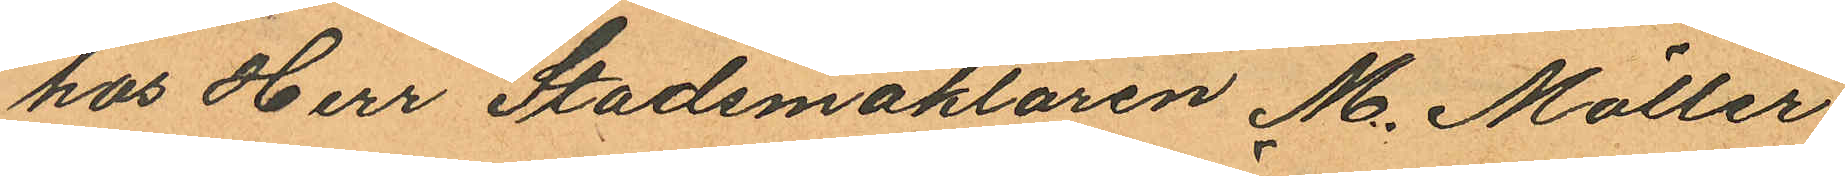hos Herr Stadsmäklaren M. Möller
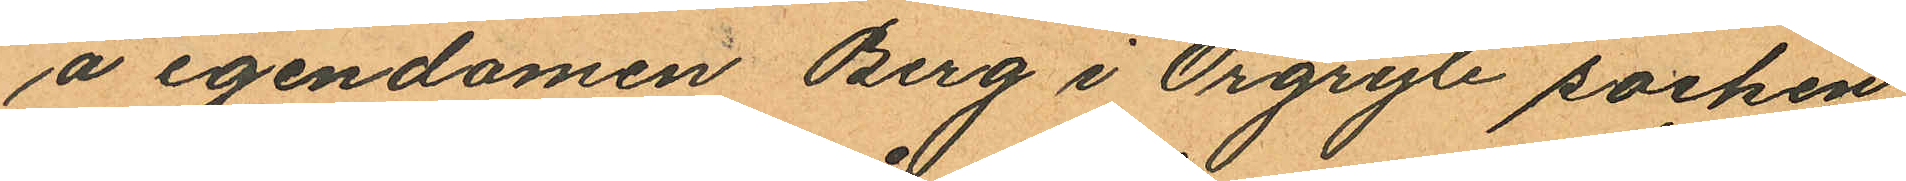å egendomen Berg i Örgryte socken
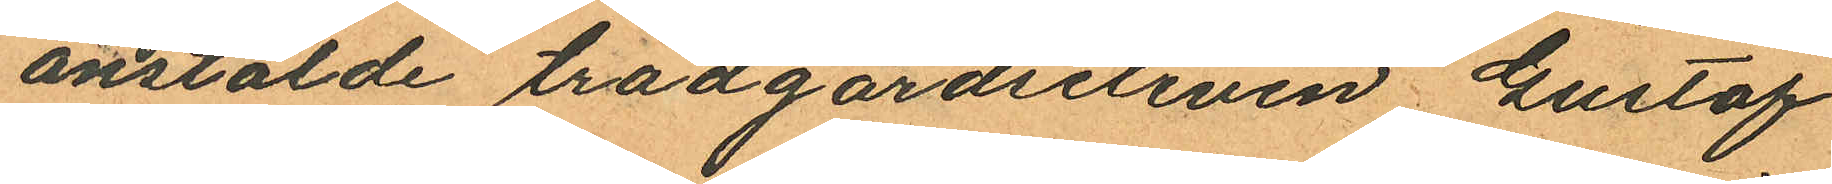anstälde trädgårdseleven Gustaf
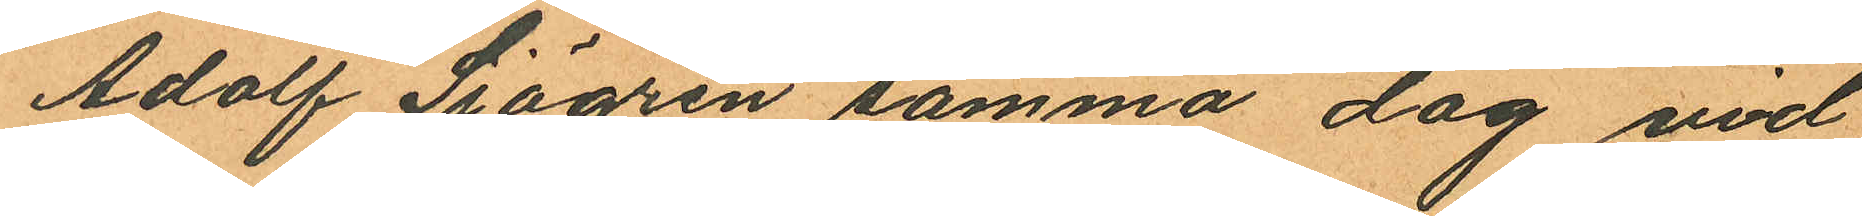Adolf Sjögren samma dag vid
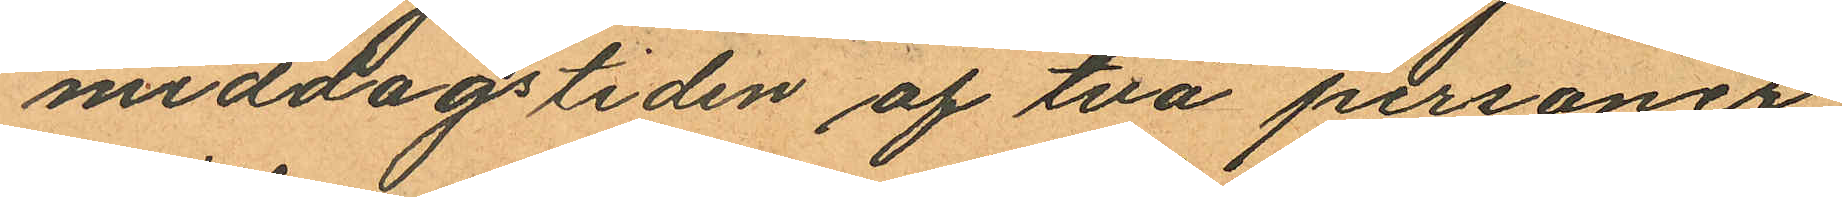middagstiden af två personer
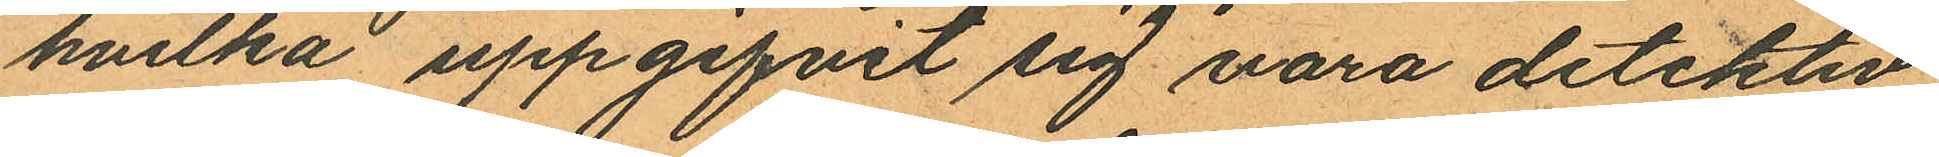hvilka uppgifvit sig vara detektiv
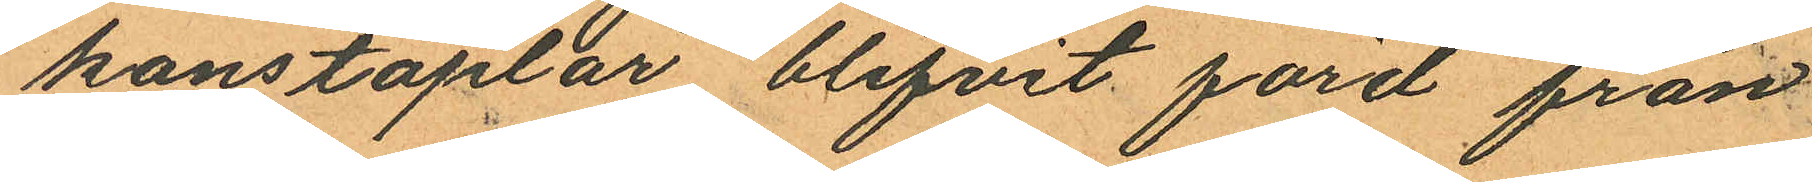konstaplar blifvit förd från
